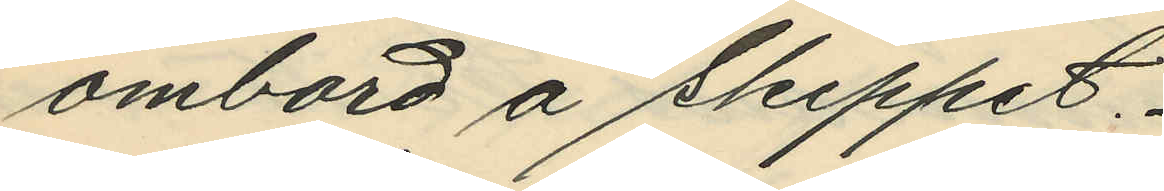ombord å skeppet.
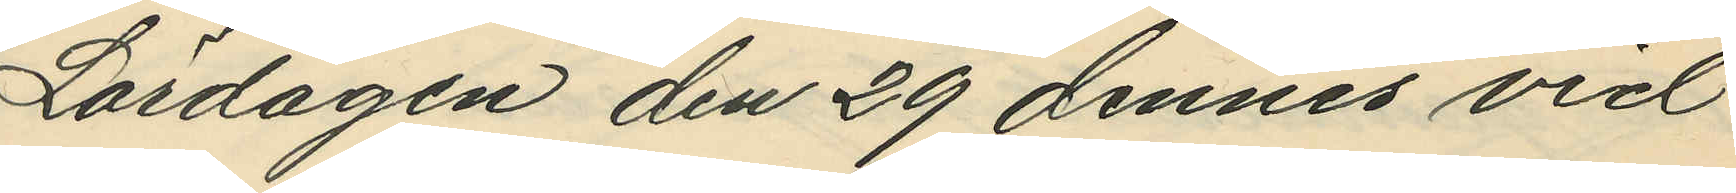Lördagen den 29 dennes vid
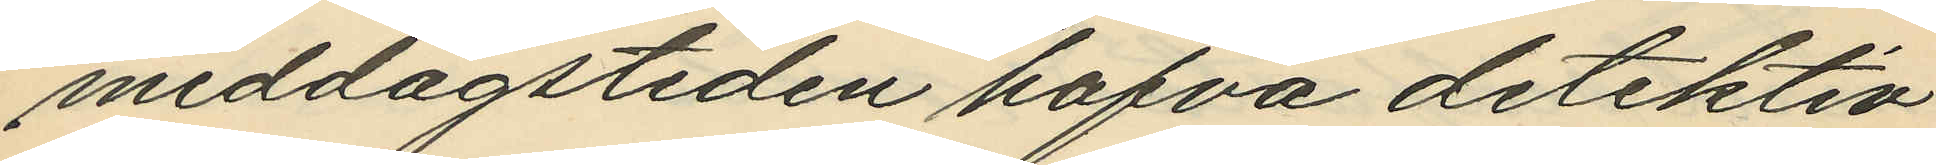middagstiden hafva detektiv¬
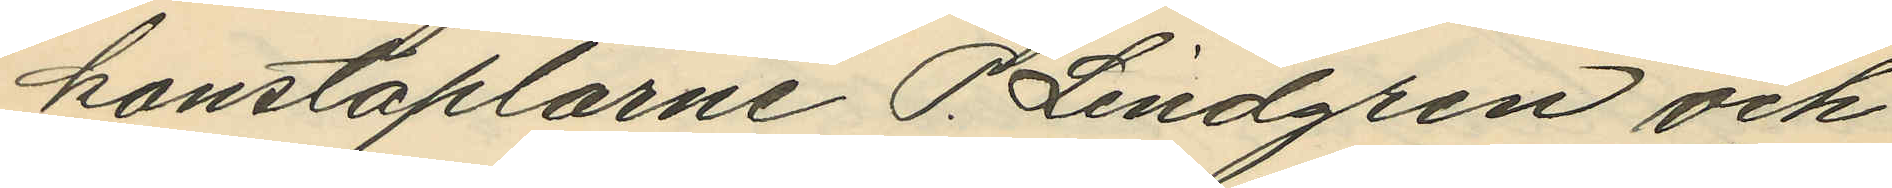konstaplarne P. Lindgren och
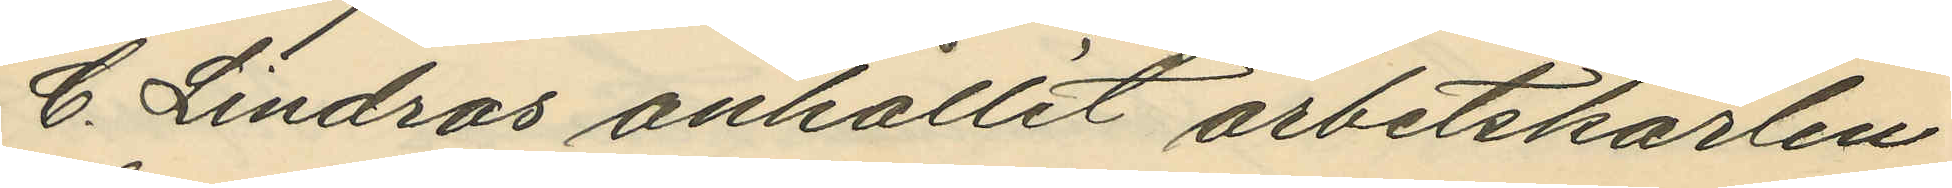C. Lindros anhållit arbetskarlen
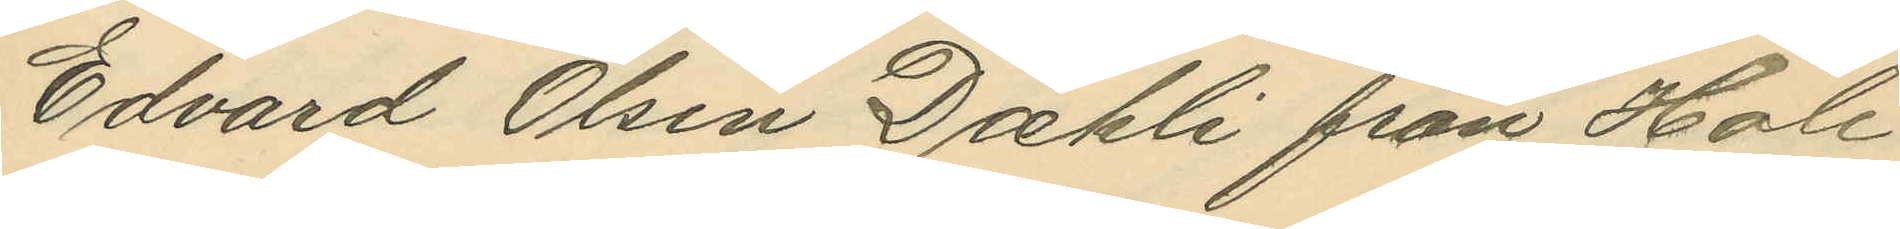Edvard Olsen Daehli från Hole
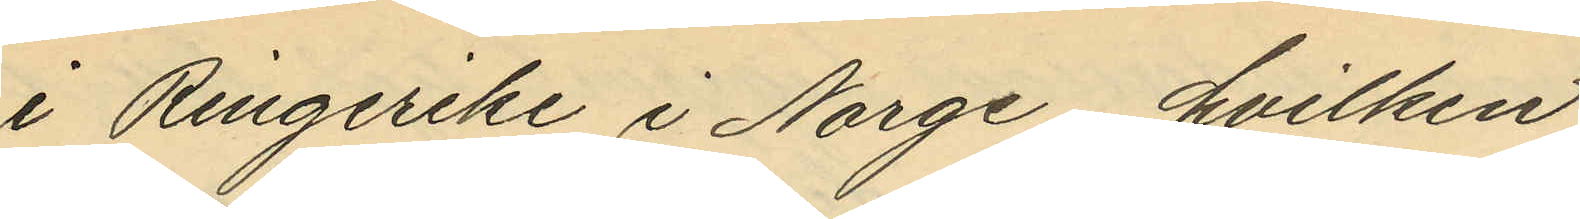i Ringerike i Norge, hvilken
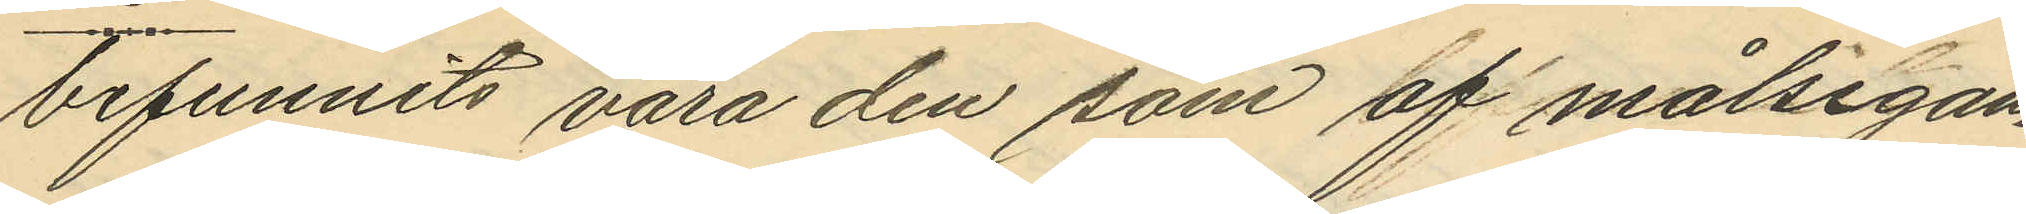befunnits vara den som af målsegan¬
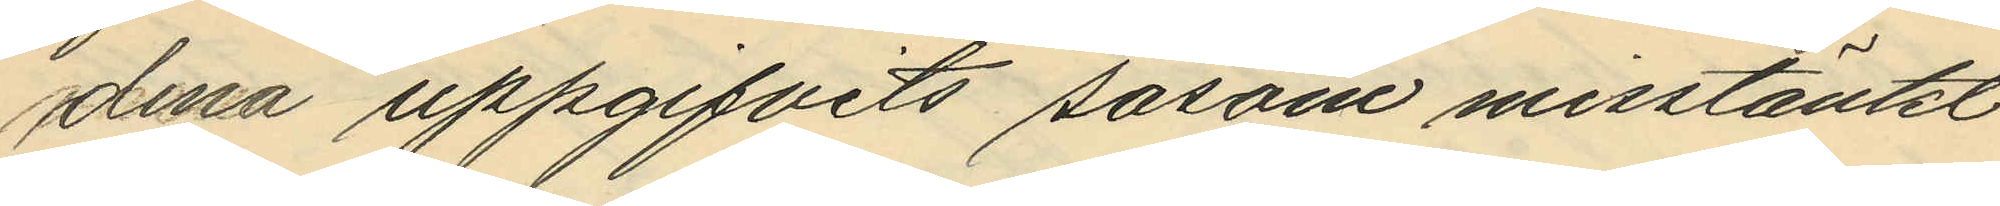dena uppgifvits såsom misstänkt
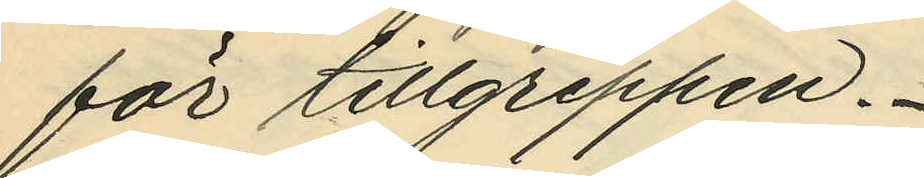för tillgreppen.
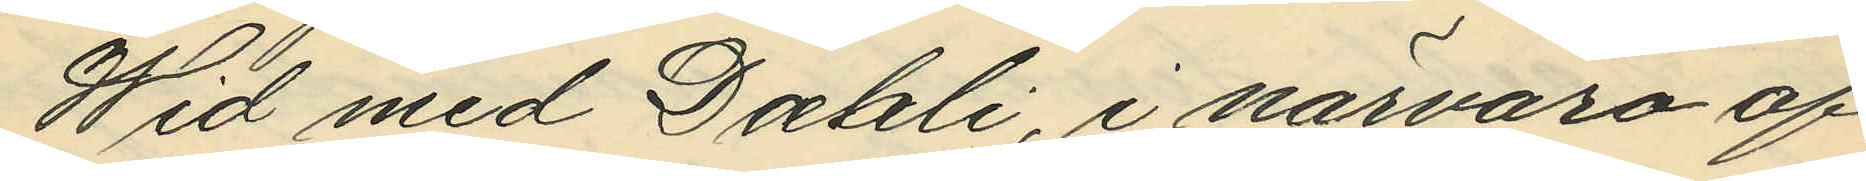Wid med Daehli, i närvaro af
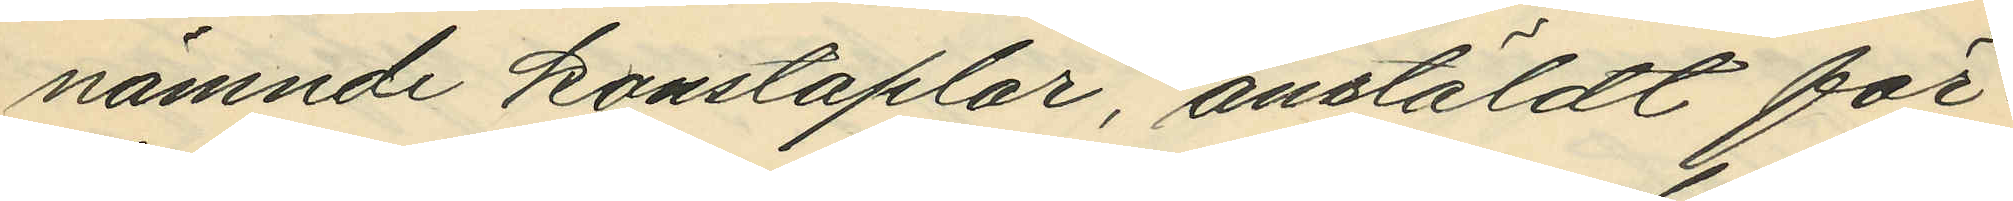nämnde konstaplar, anstäldt för¬
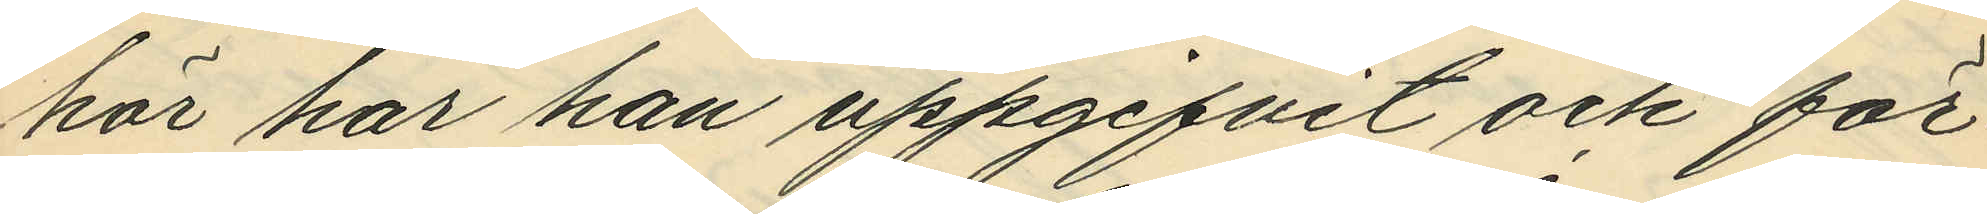hör har han uppgifvit och för¬
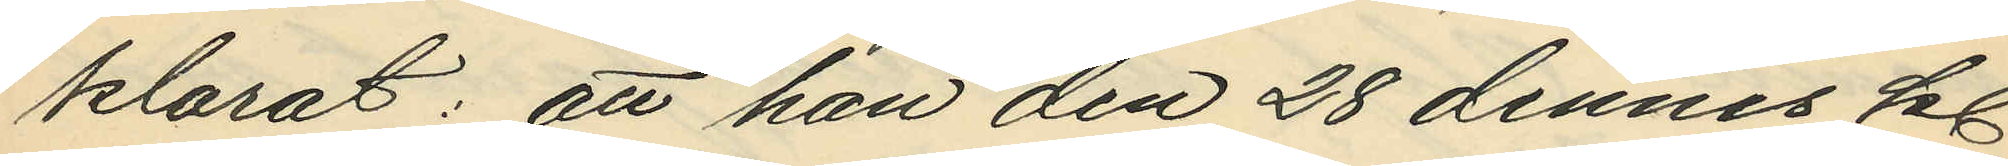klarat: att han den 28 dennes kl.
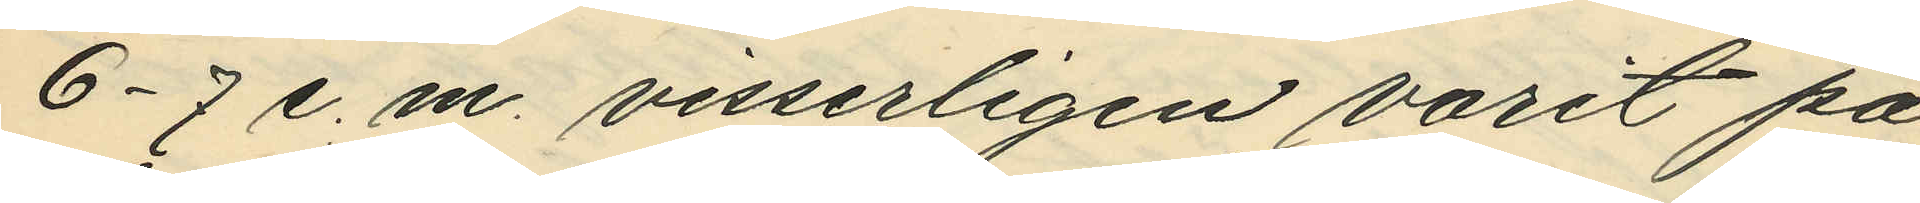6-7 e. m. visserligen varit på
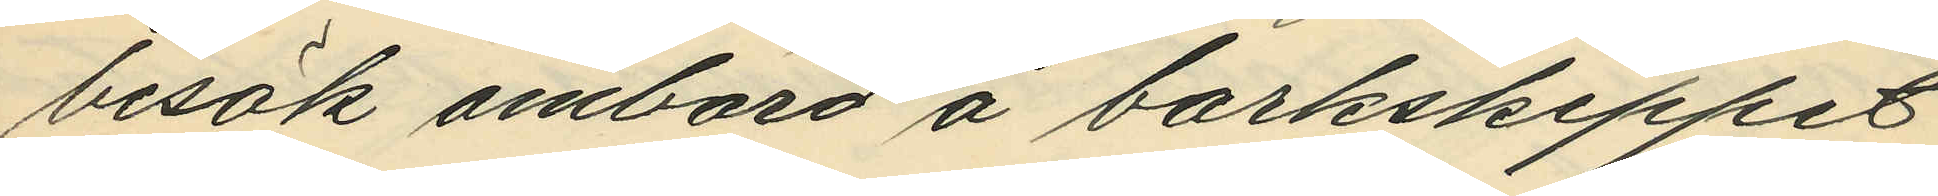besök ombord å barkskeppet
